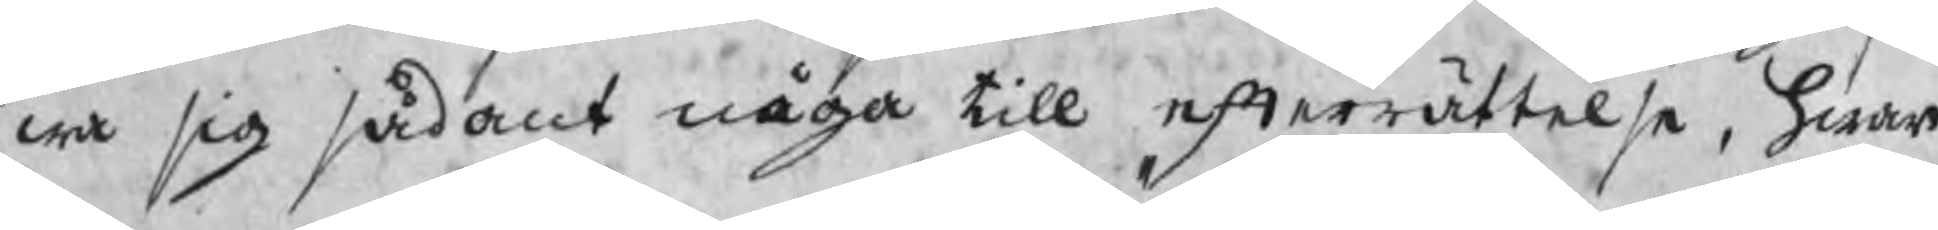wa sig sådant någa till efterrättelse, hwar
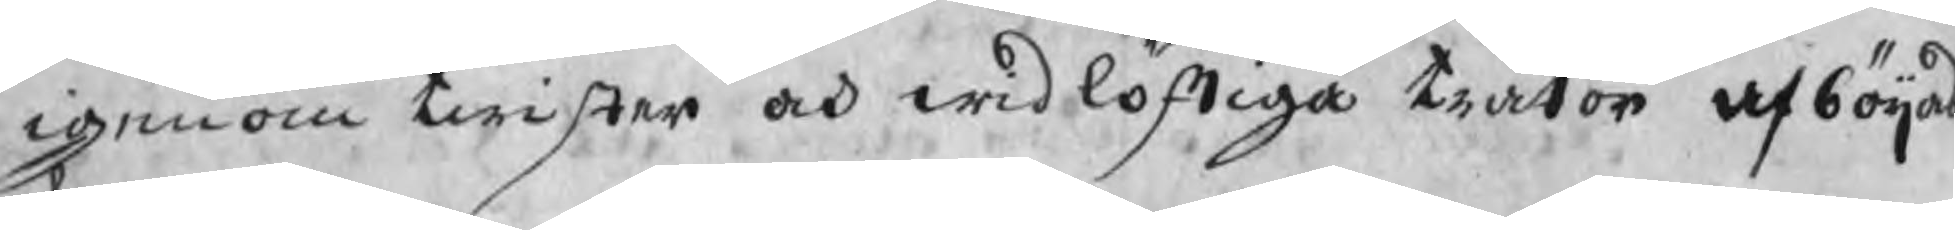igenom twister och widlöfliga trätor afböijas
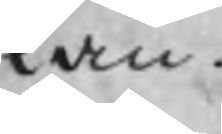kan.
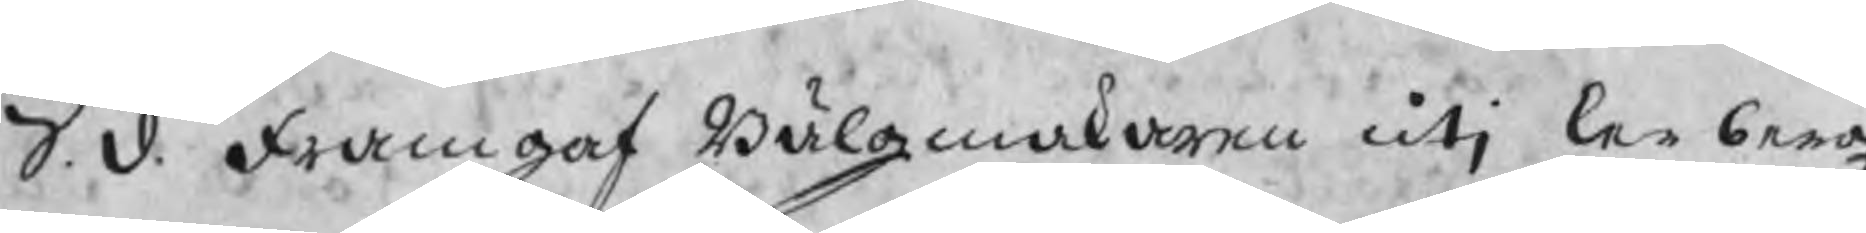S.d. framgaf Bälgmakaren utj Lerbergz
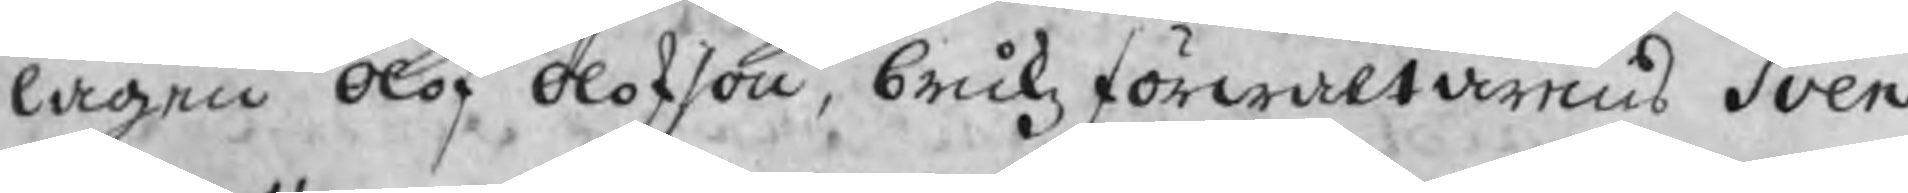lagen Olof Olofson, brukzförwaltarens Sven
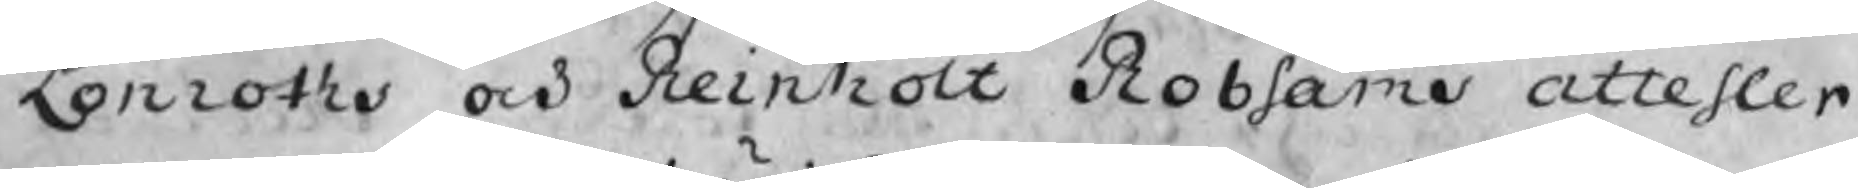Lönroths och Reinholt Robsams attester
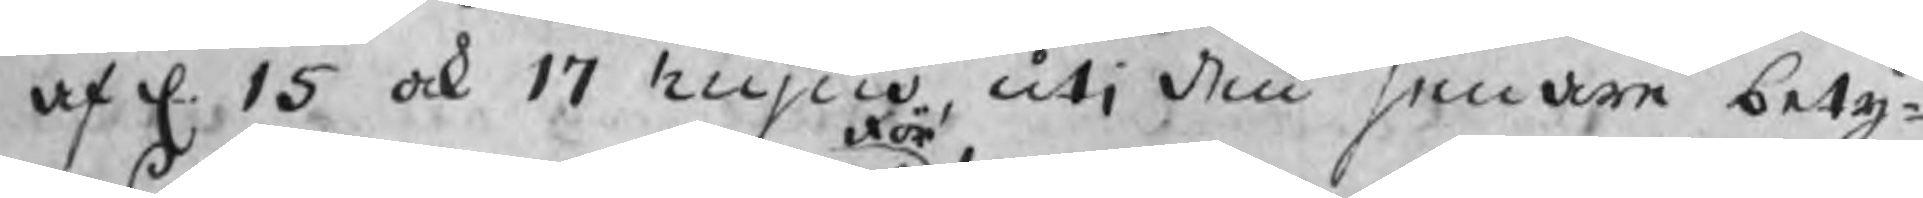af d. 15 ock 17 hujus, utj den senare bety¬
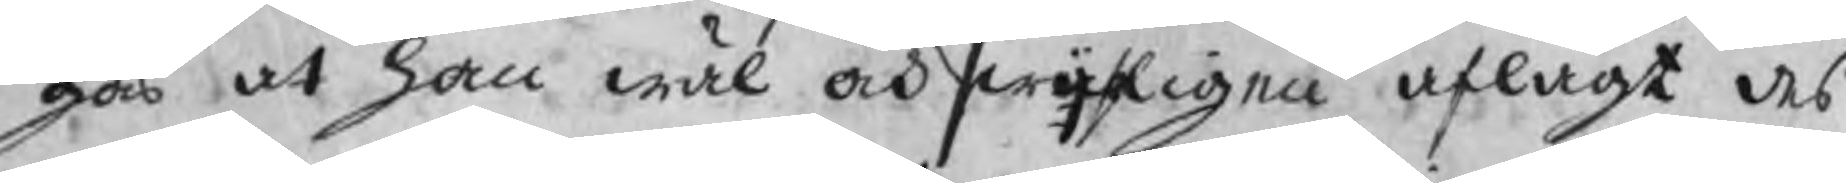gas at han wäl och förswarligen aflagt des
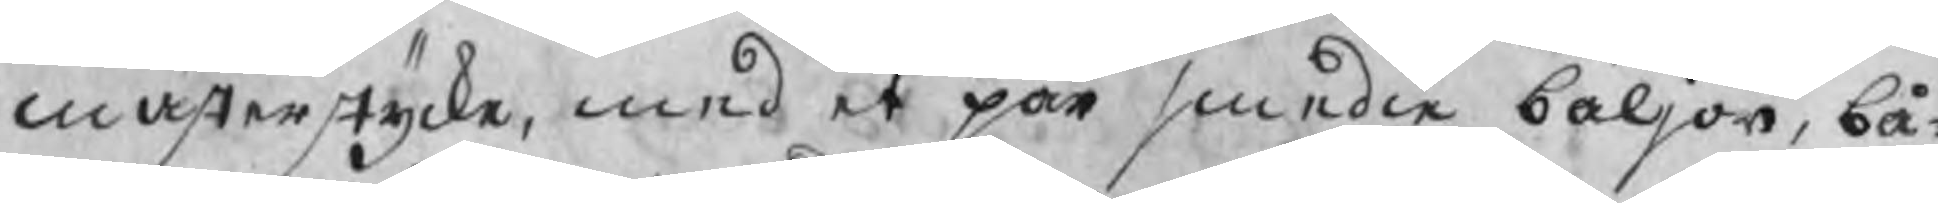mästerstycke, med et par smedie bäljor, bå¬
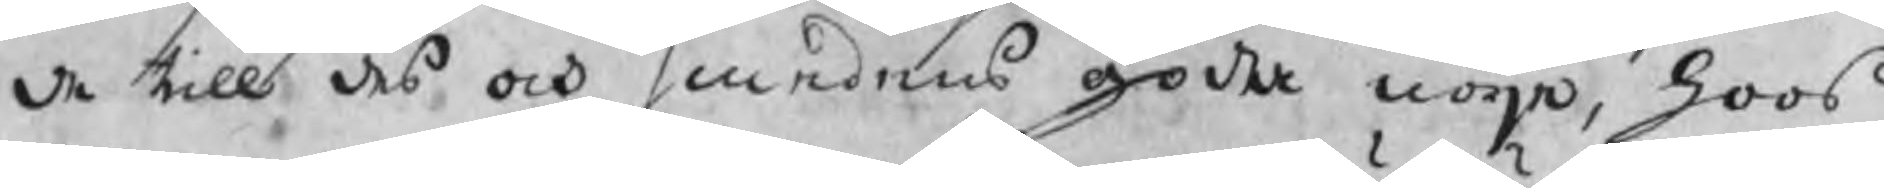de till des och smedens goda nöje, hoos 
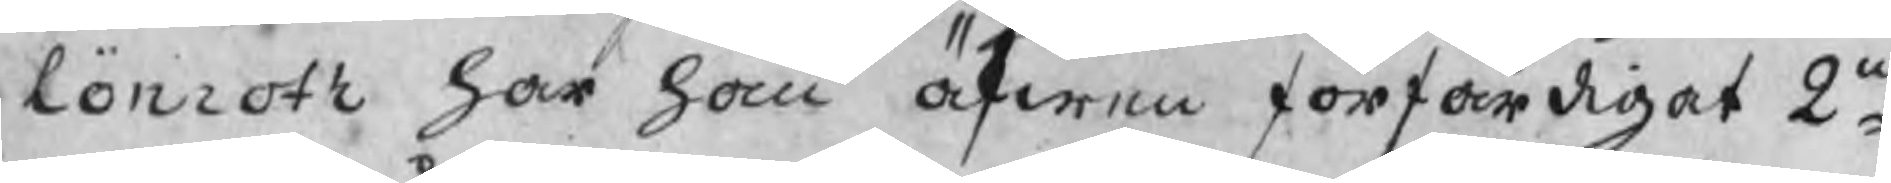Lönroth har han äfwen förfärdigat 2ne
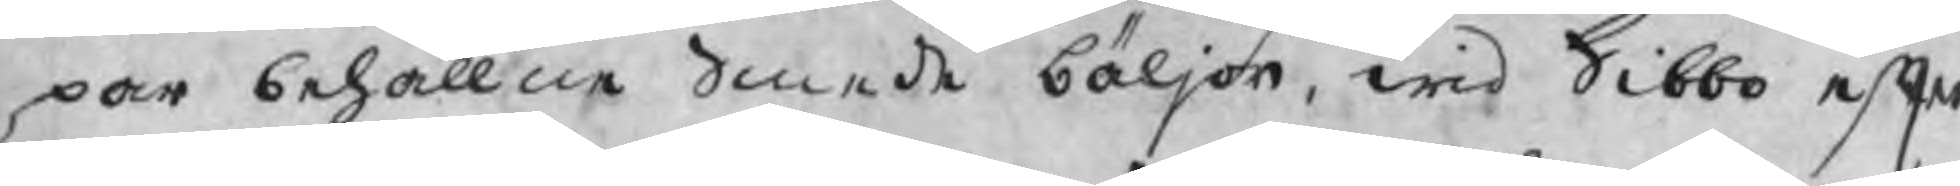par behållne Smede bäljor, wid Sibbo efter
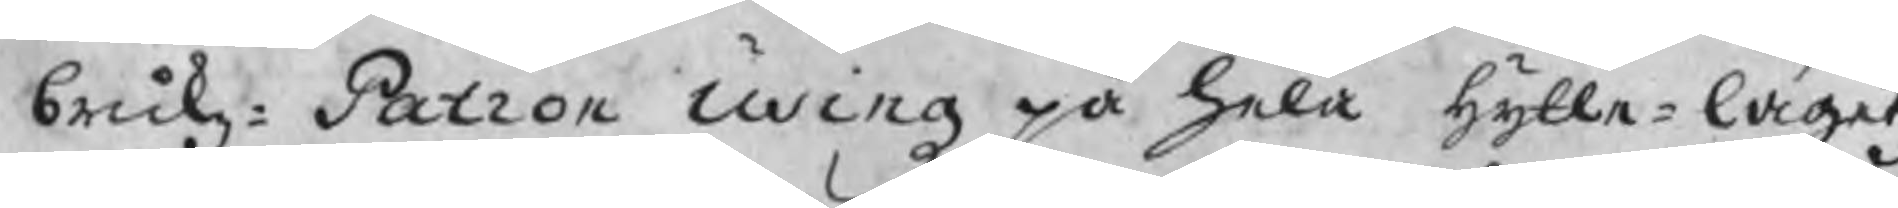brukz¬Patron Using på hela hytte¬lagetz
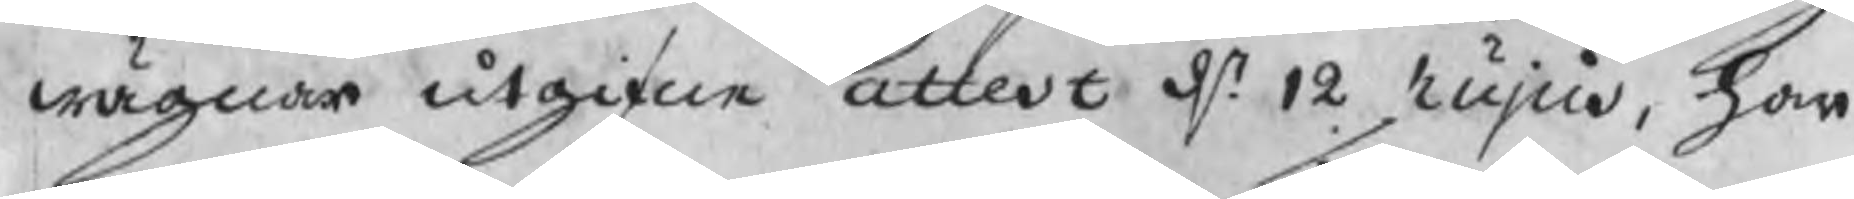wägnar utgifne attest d. 12 hujus, han
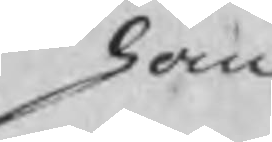han
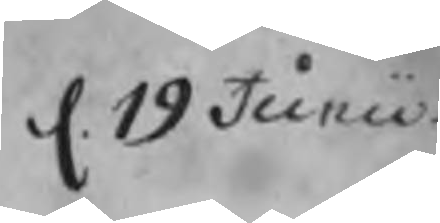d. 19 Junii.
